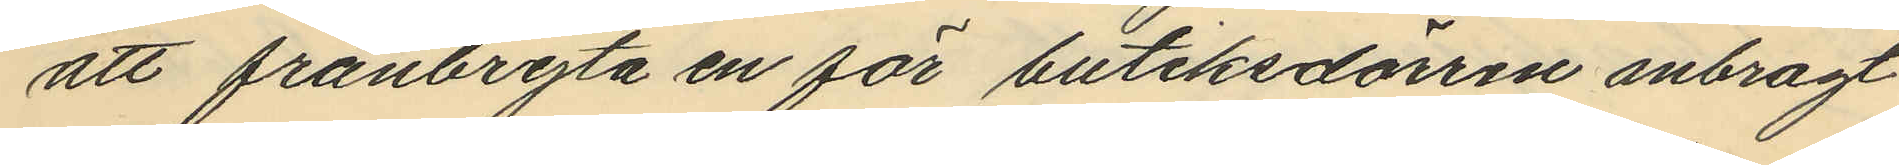att frånbryta en för butiksdörren inbragt
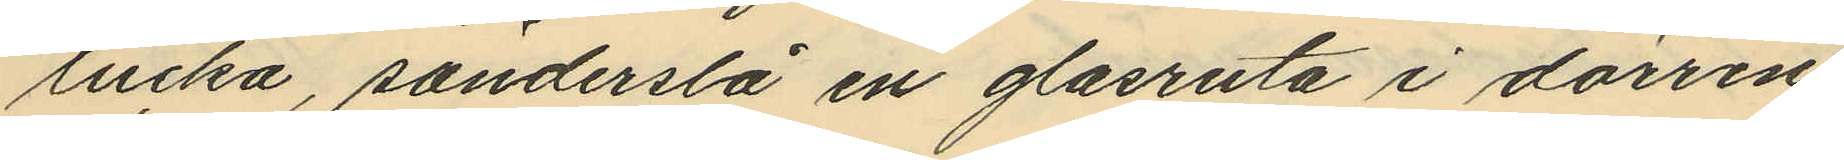lucka, sönderslå en glasruta i dörren
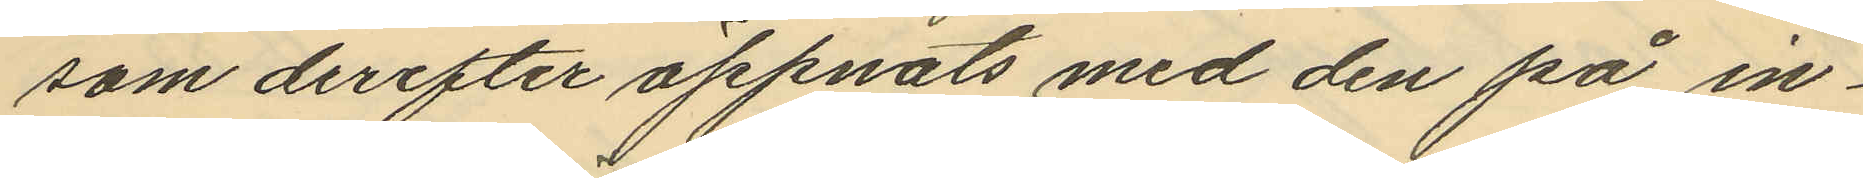som derefter öppnats med den på in¬
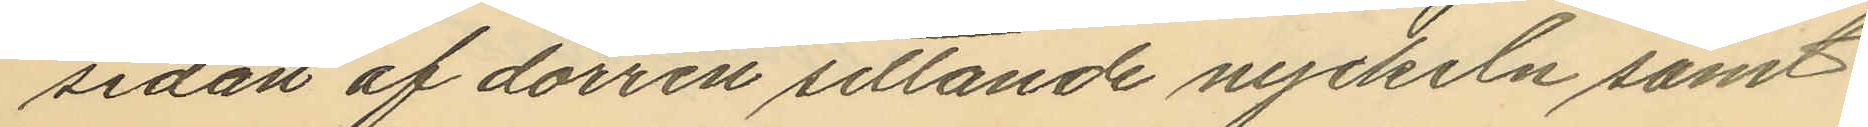sidan af dörren sittande nyckeln samt
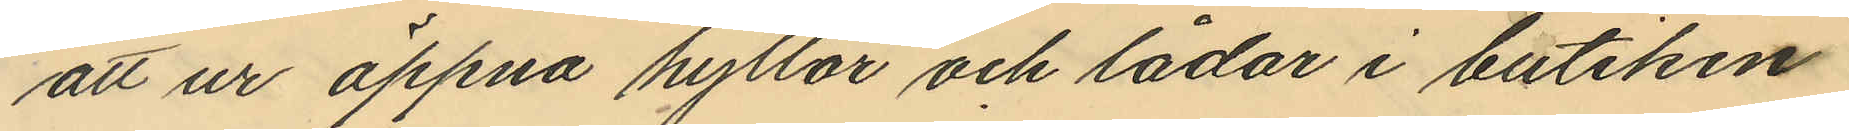att ur öppna hyllor och lådor i butiken
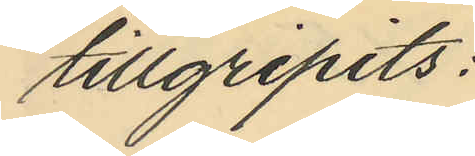tillgripits:
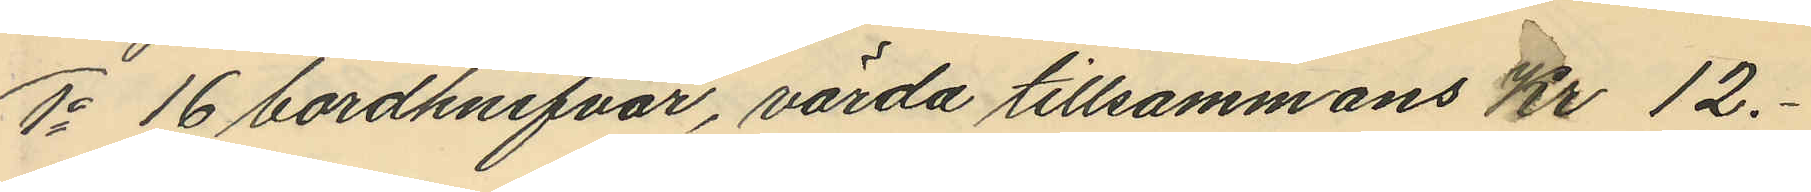1o 16 bordknifvar, värda tillsammans Kr 12.-
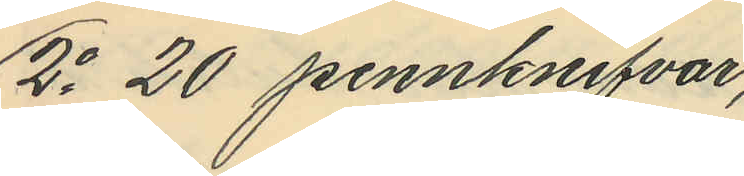2o 20 pennknifvar,
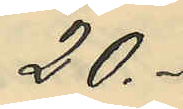20.-
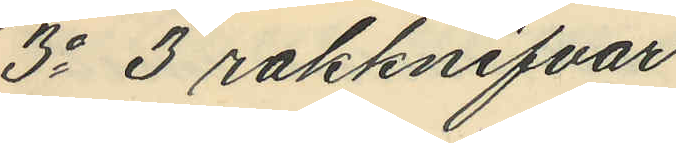3o 3 rakknifvar
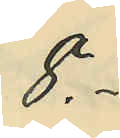8:-
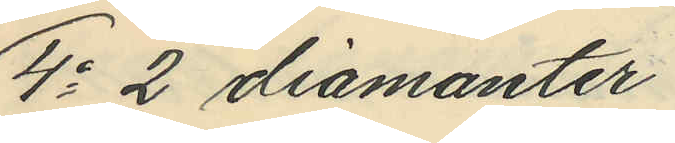4o 2 diamanter
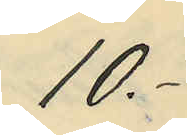10.-
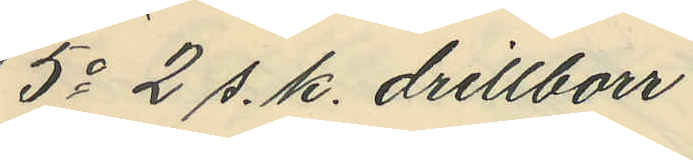5o 2 s. k. drillborr
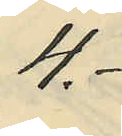4.-
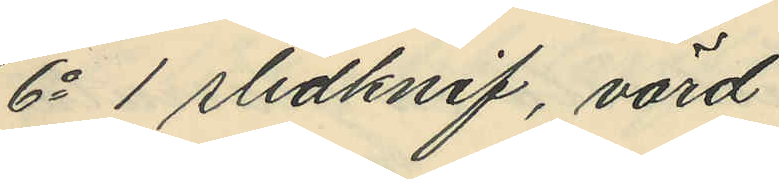6o 1 slidknif, värd
